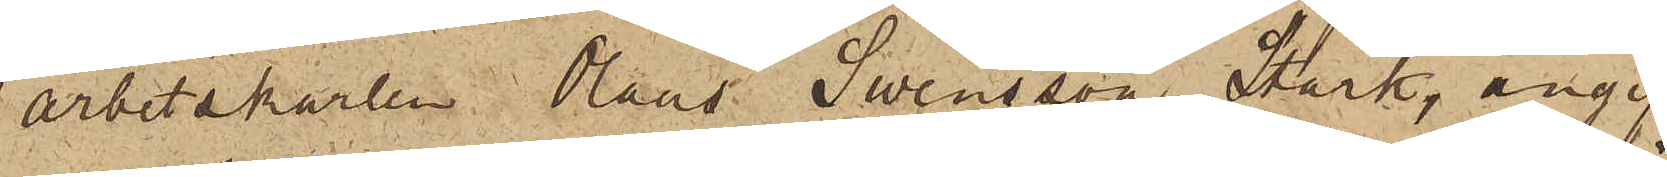arbetskarlen Olaus Swensson Stark, angif¬
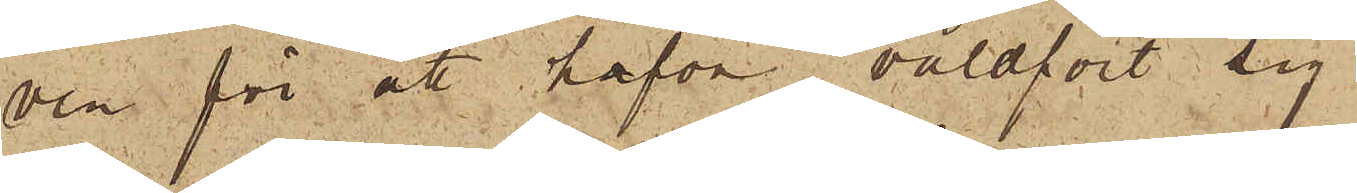ven för att hafva våldfört sig
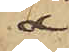å
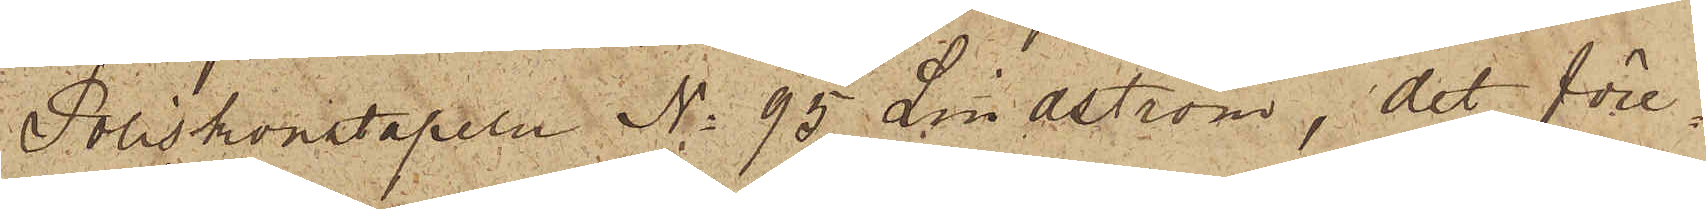Poliskonstapeln No 95 Lindström, det före¬
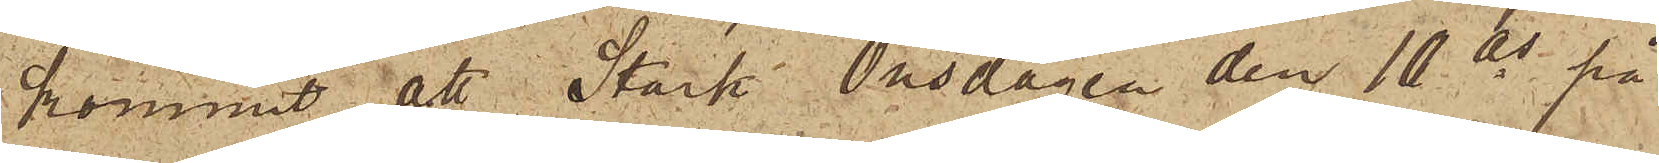kommit, att Stark Onsdagen den 10 ds på
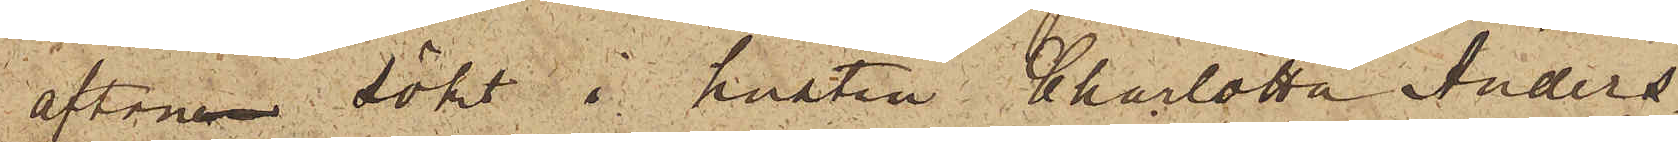aftonen sökt i hustru Charlotta Anders¬
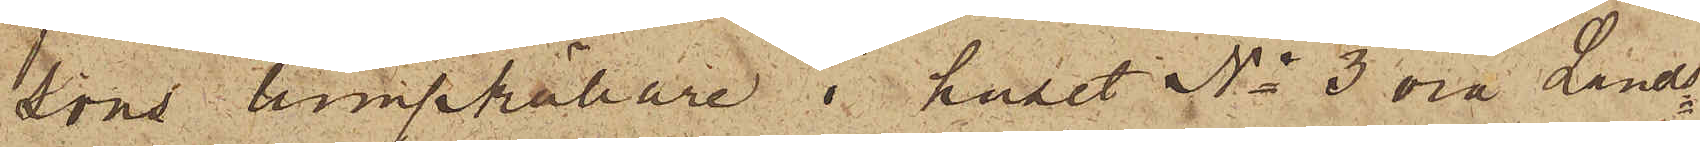sons lumpkällare i huset No 3 vid Lands¬
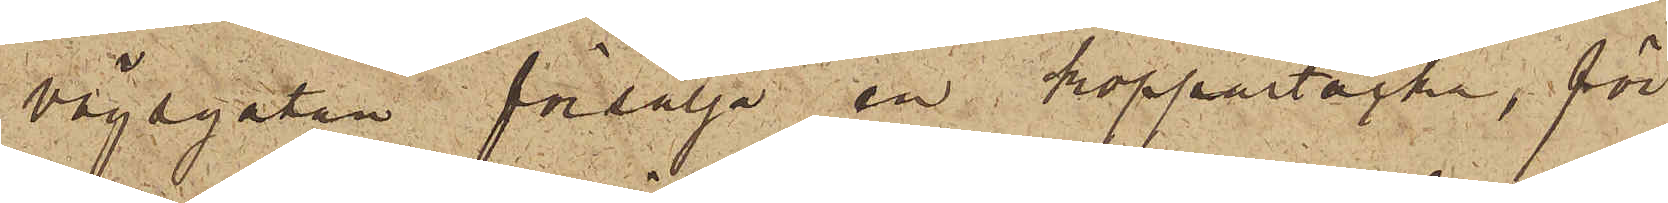vägsgatan försälja en i koppartacka, för
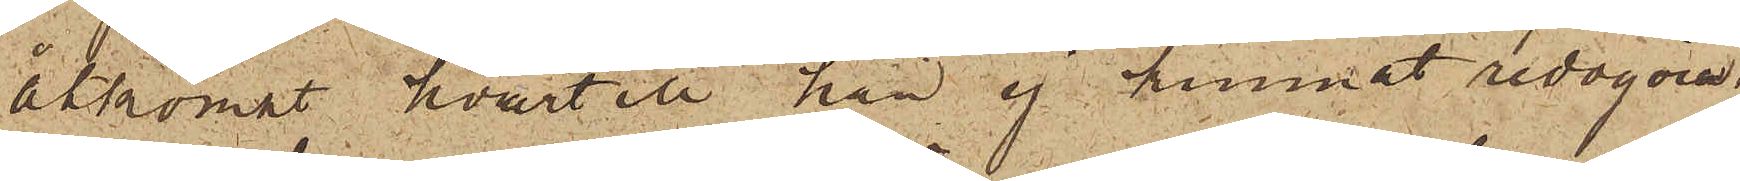åtkomst hvartill han ej kunnat redogöra;
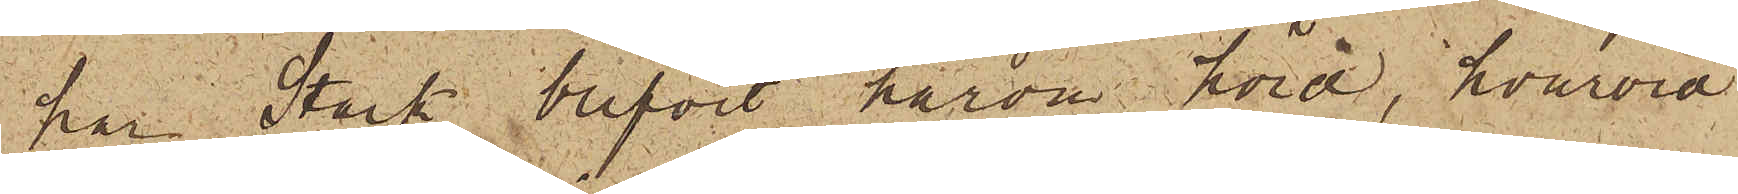har i Stark blifvit härom hörd, hvarvid
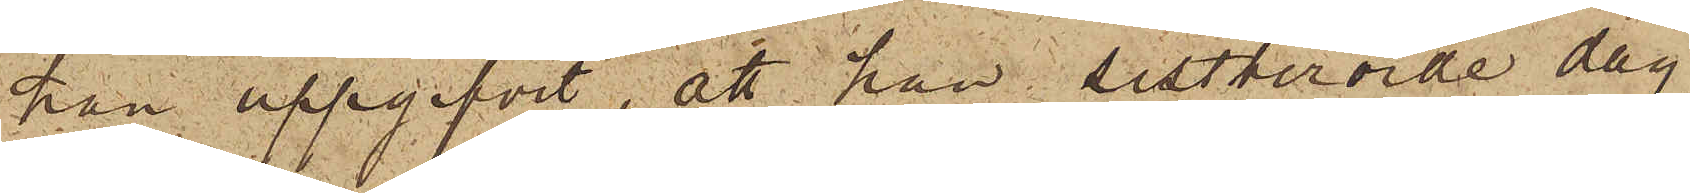han uppgifvit, att han sistberörde dag
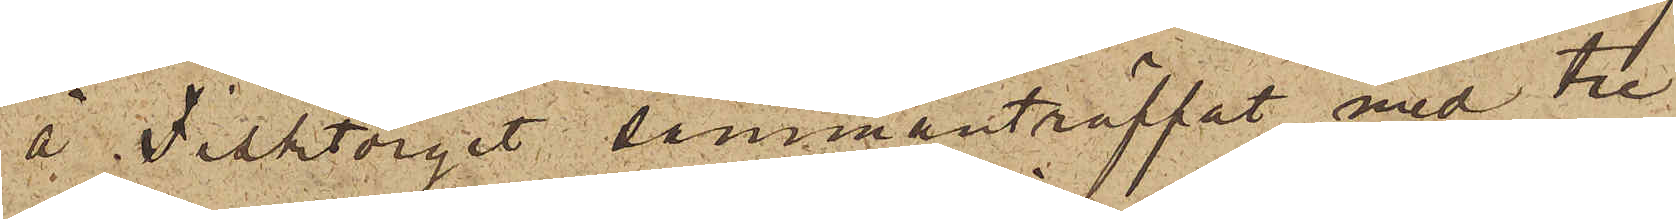å Fisktorget sammanträffat med tre
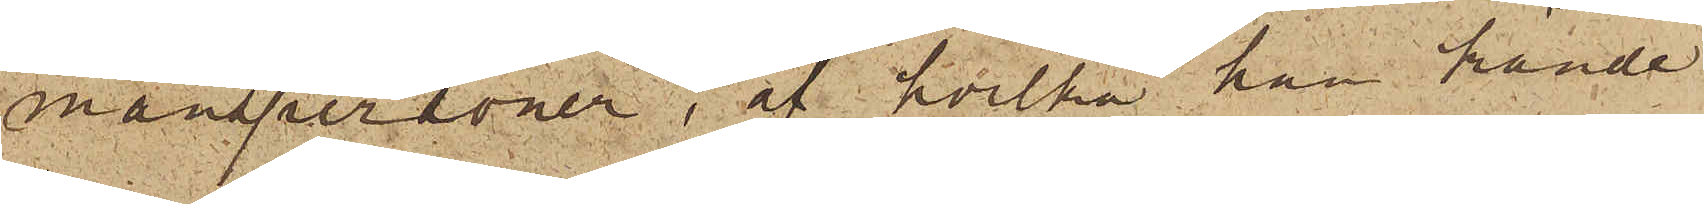manspersoner, af hvilka han kände
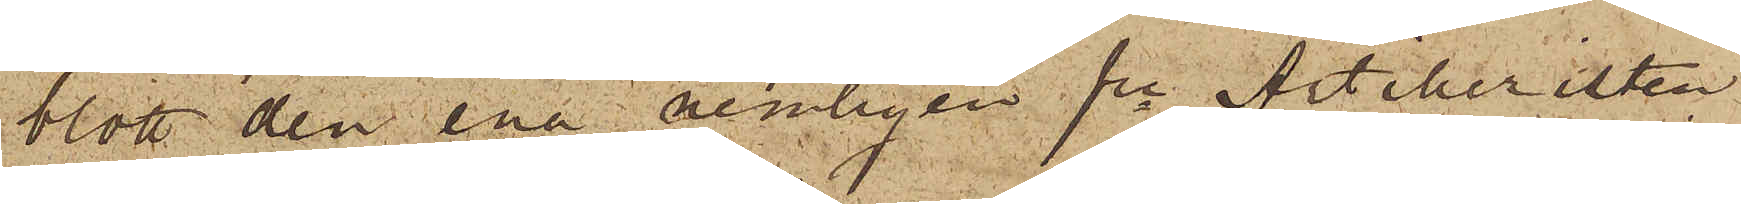blott den ena nemligen fre Artilleristen
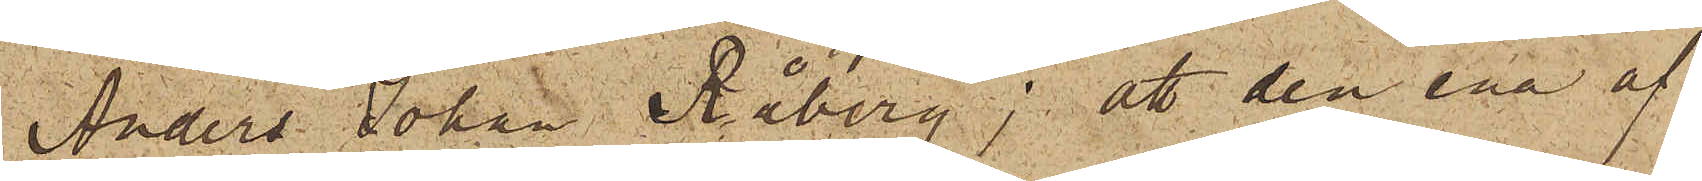Anders Johan Råberg; att den ena af
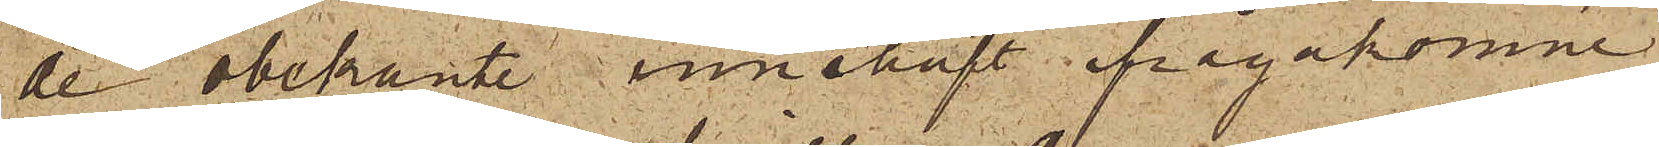de obekante innehaft ifrågakomne
